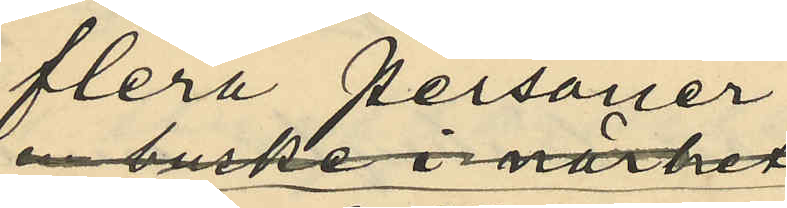flera personer
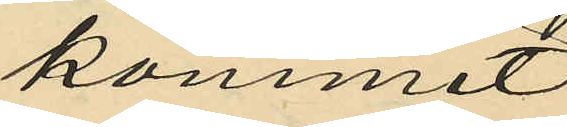kommit
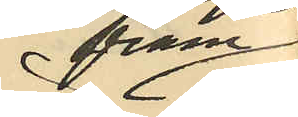fram
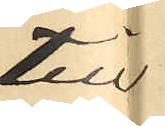till
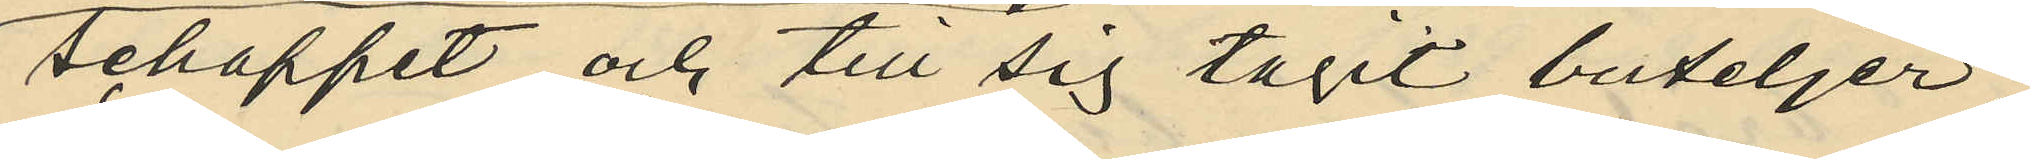schappet och till sig tagit buteljer;
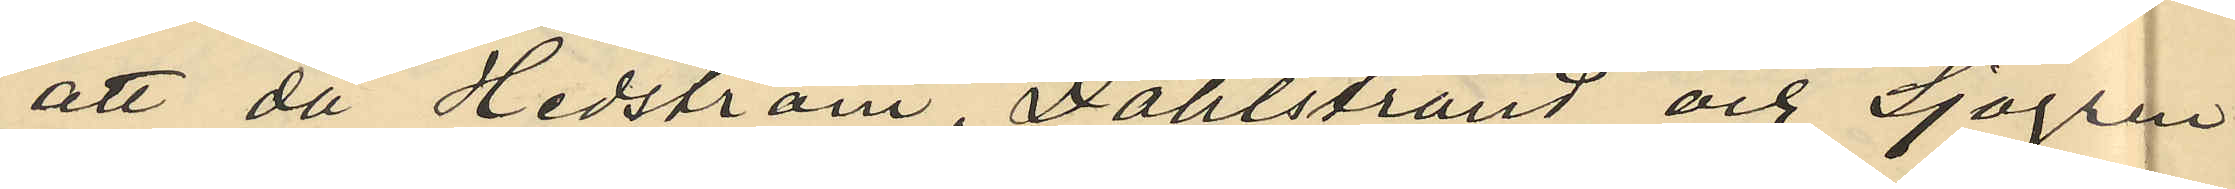att då Hedström, Dahlstrand och Sjögren
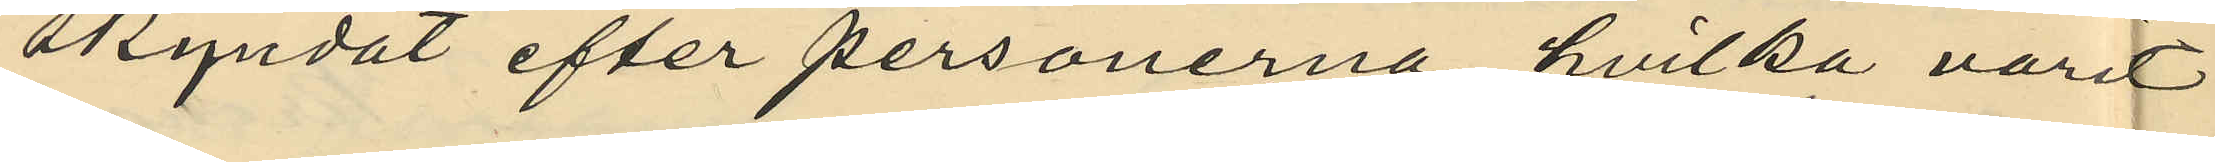skyndat efter personerna hvilka varit
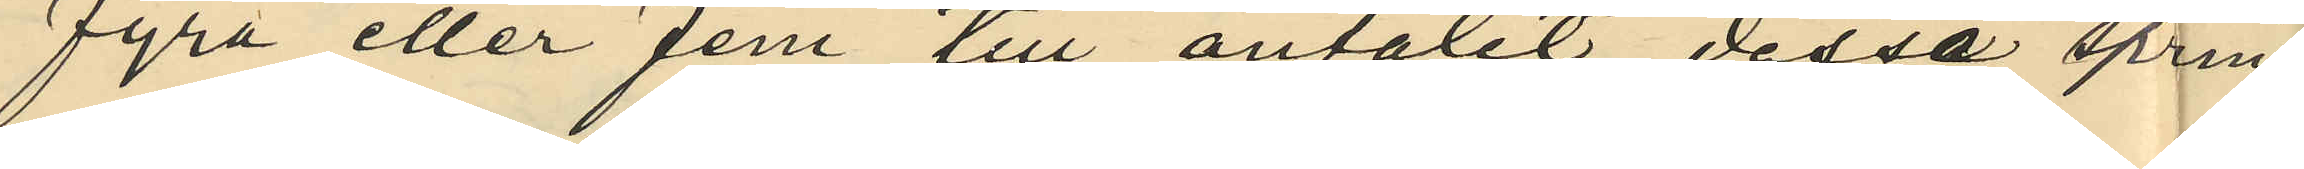fyra eller fem till antalet dessa sprin¬
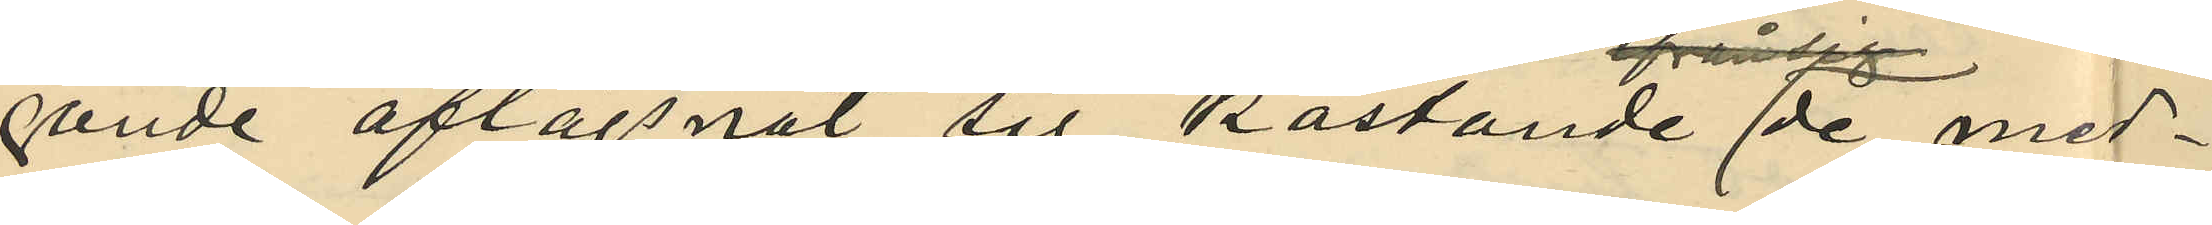gande aflägsnat sig kastande de med¬
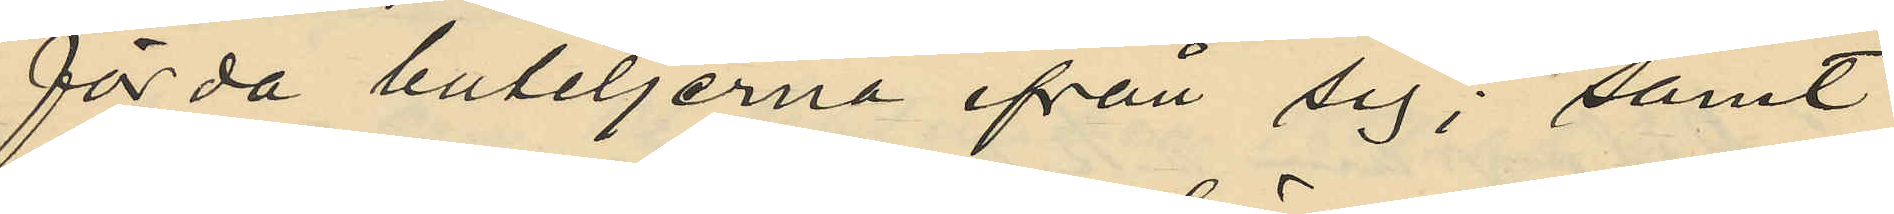förda buteljerna ifrån sig; samt
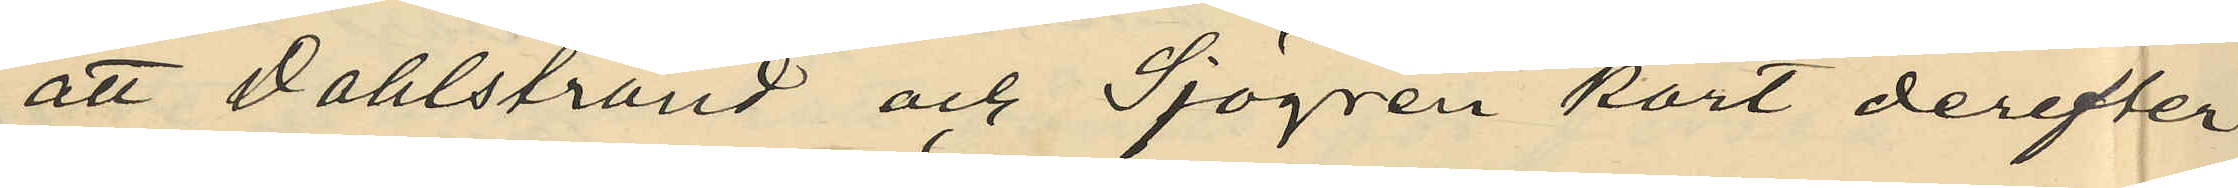att Dahlstrand och Sjögren kort derefter
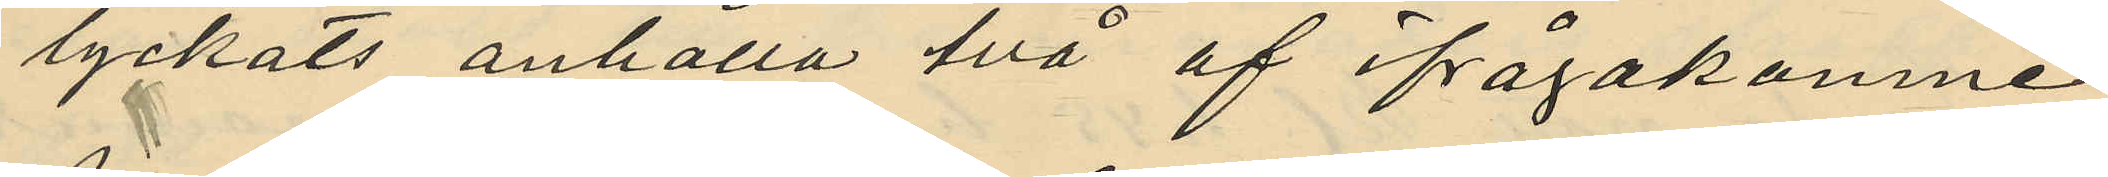lyckats anhålla två af ifrågakomne
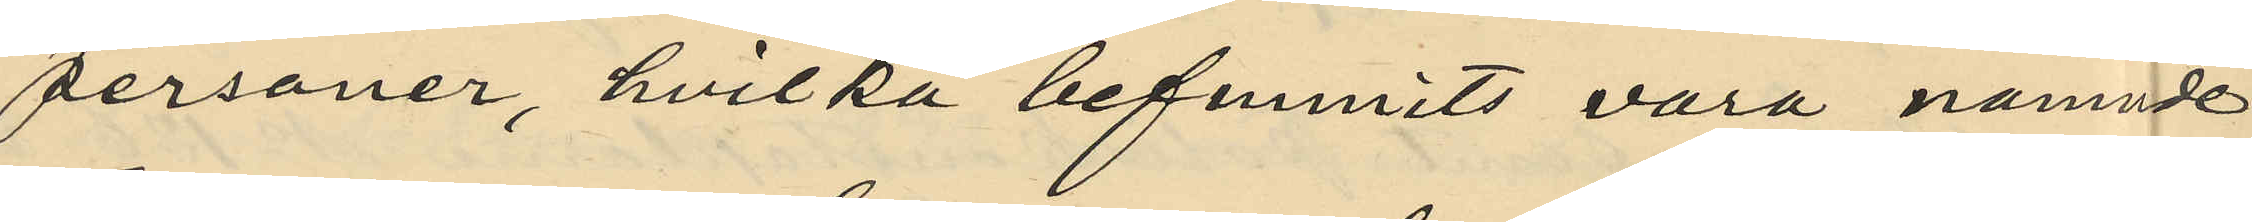personer, hvilka befunnits vara nämnde
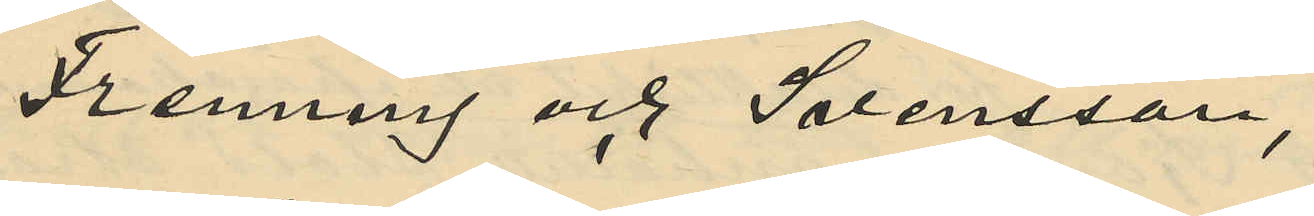Frenning och Svensson,
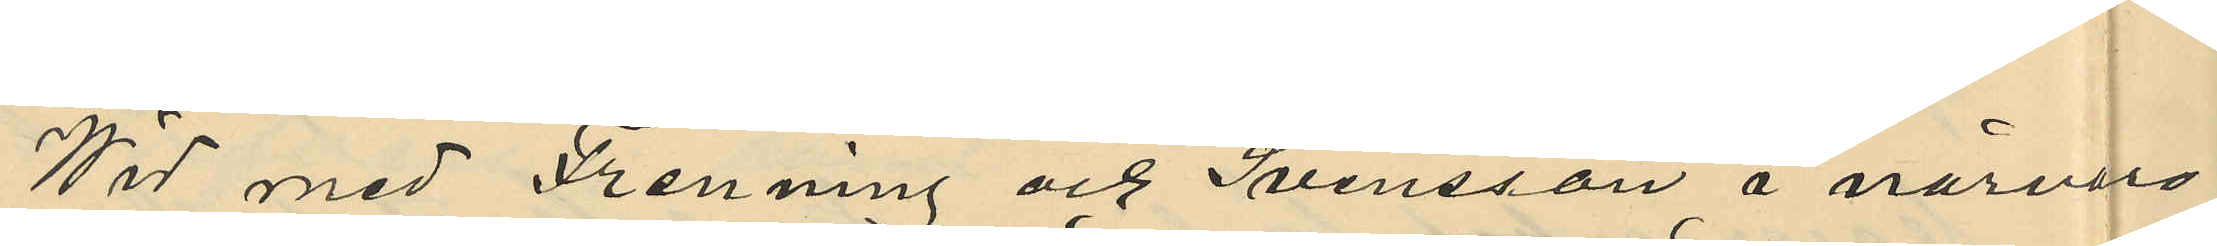Wid med Frenning och Svensson å närvaro
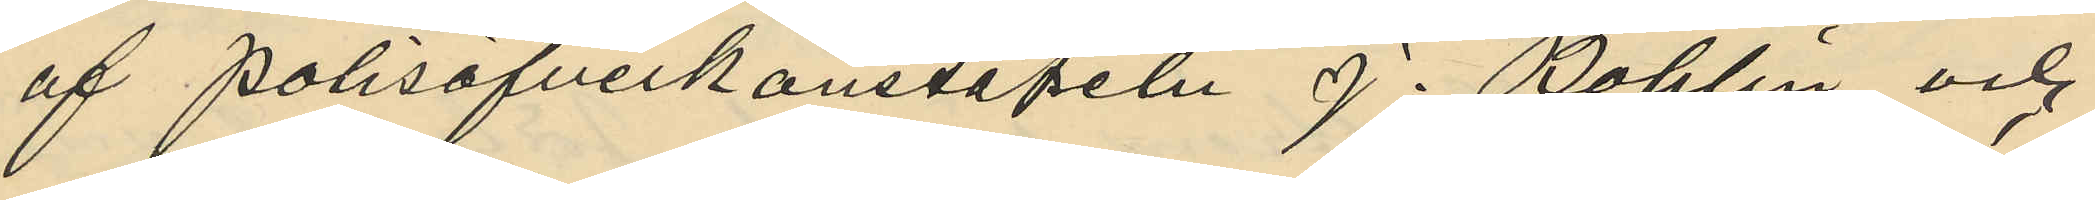af Polisöfverkonstapeln J. Bohlin och
